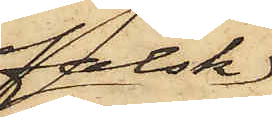falsk
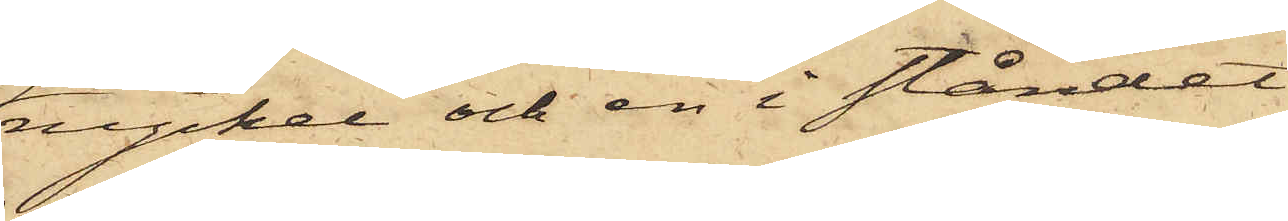nyckel och en i ståndet
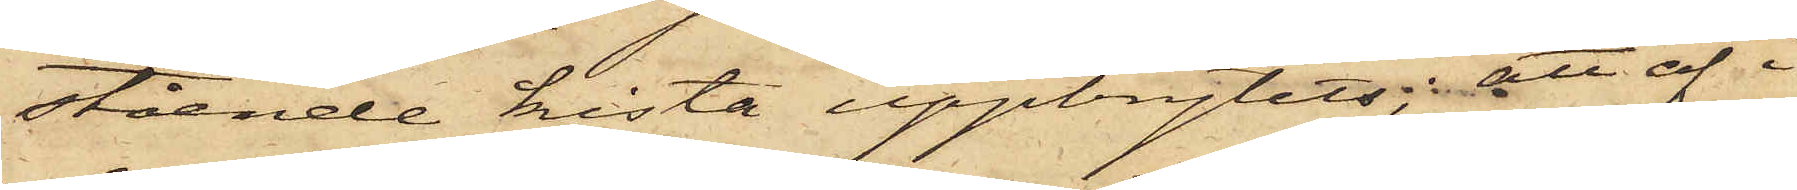stående kista uppbrytits; att af i
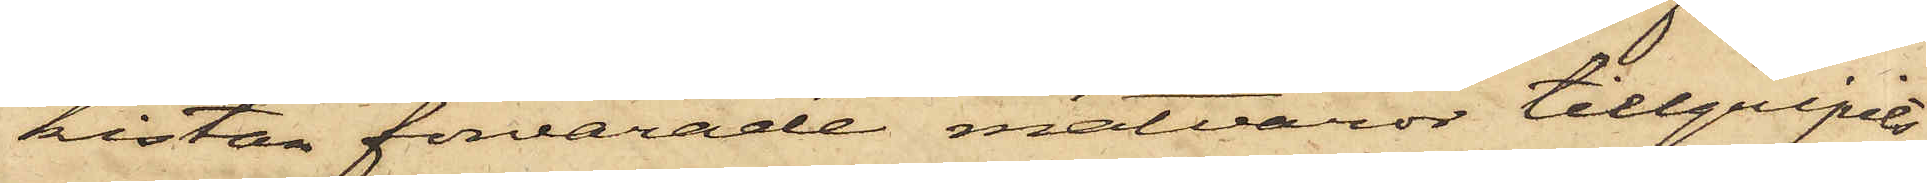kistan förvarade matvaror tillgripits
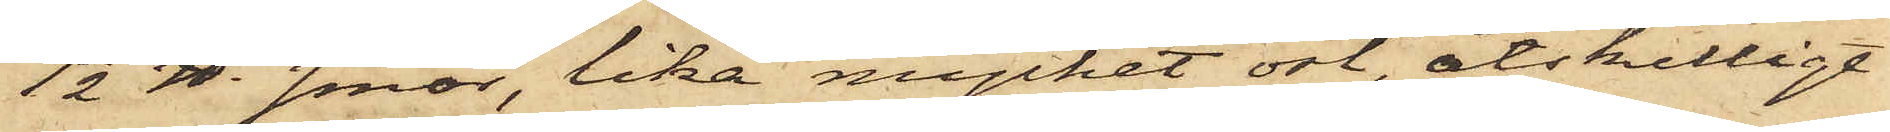1 1/2 ℔. smör, lika mycket ost, åtskilligt
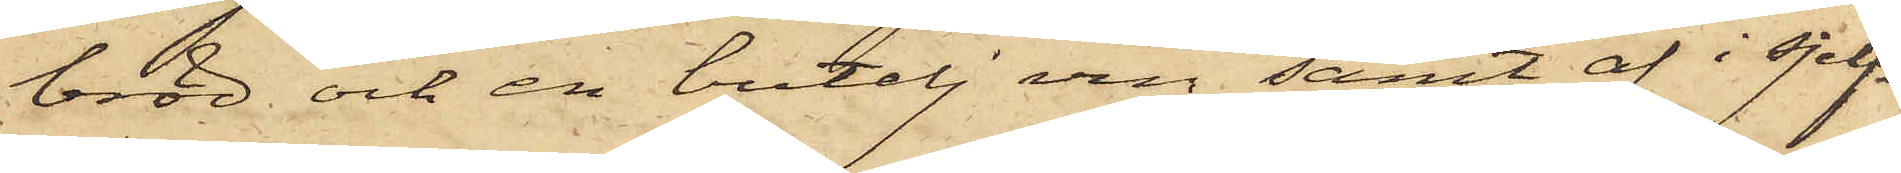bröd och en butelj vin samt af i sjelf¬
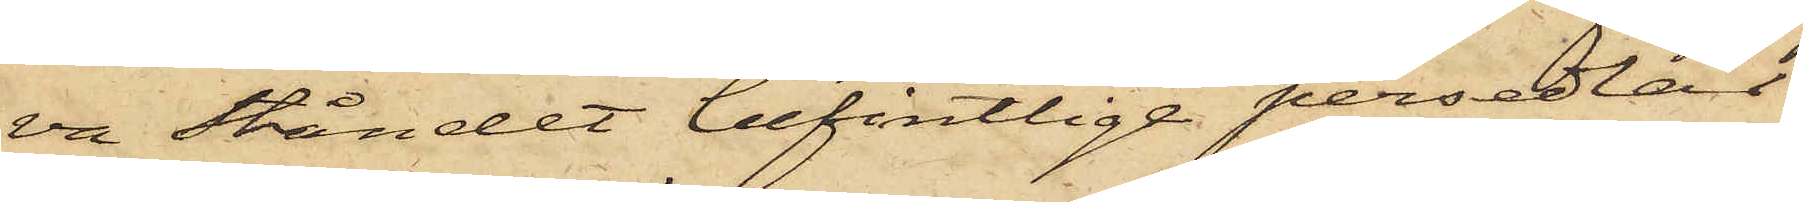va ståndet befintlige persedlar
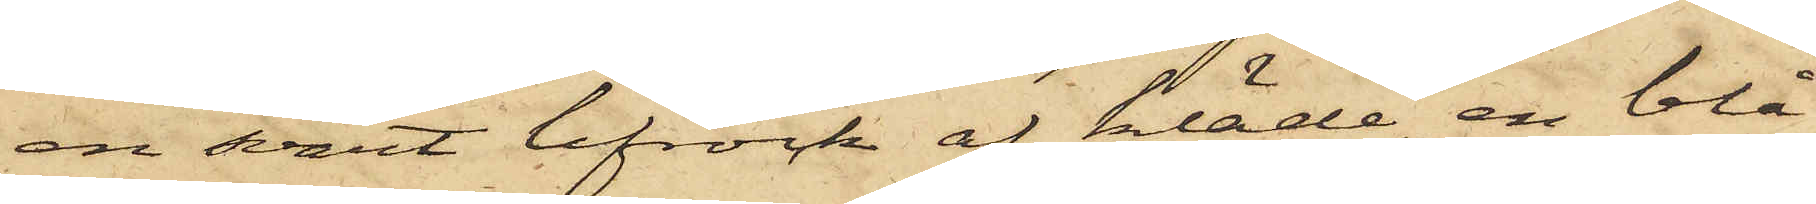en svart lifrock af kläde, en blå
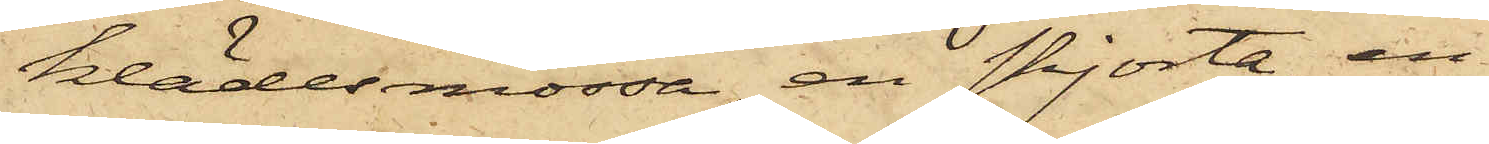klädesmössa, en skjorta, en
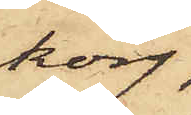korg,
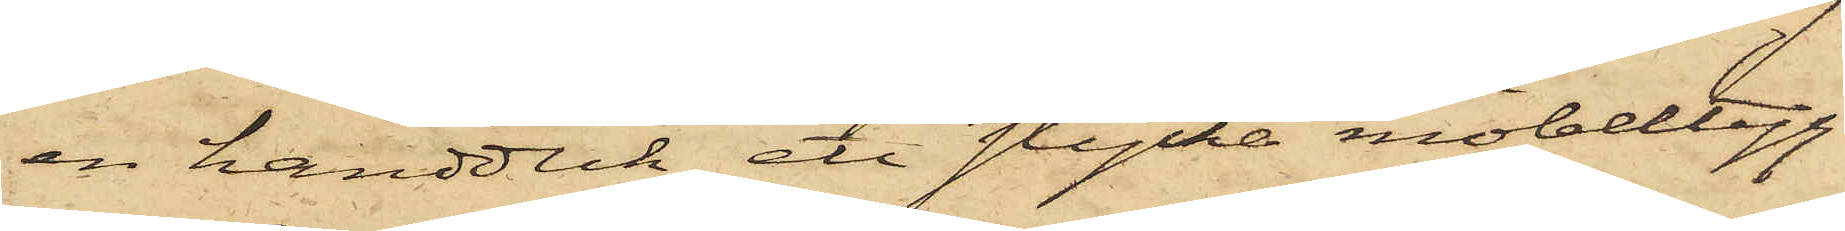en handduk, ett stycke möbeltyg
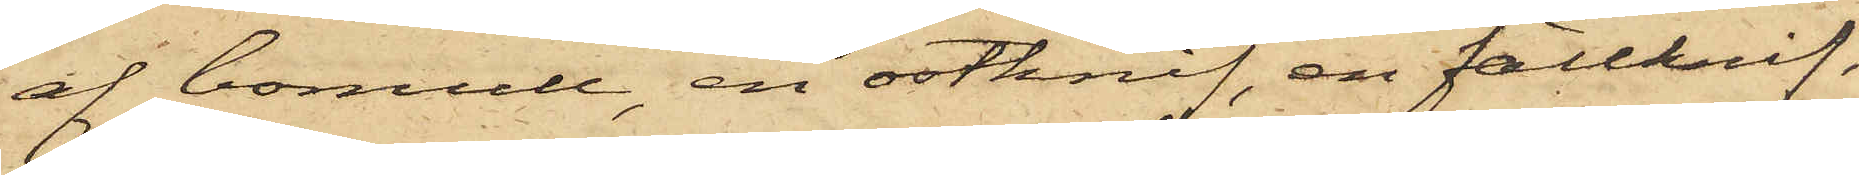af bomull, en ostknif, en fällknif,
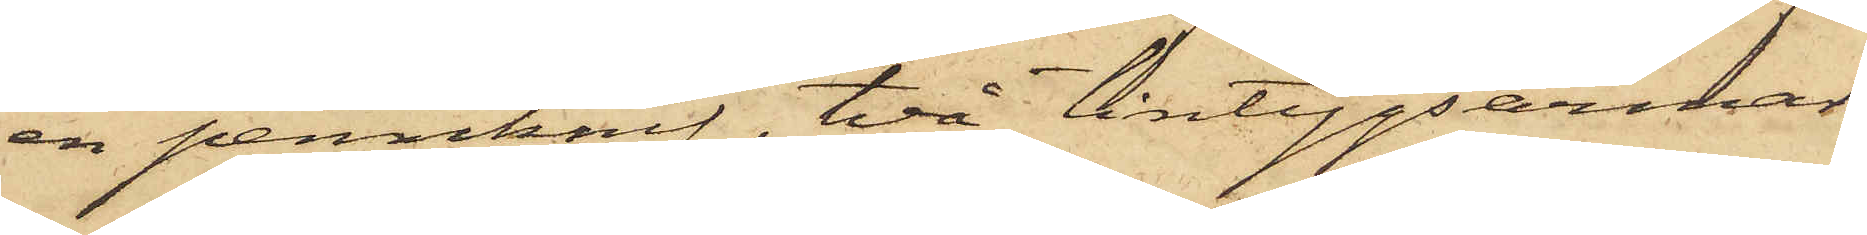en pennknif, två lintygsärmar
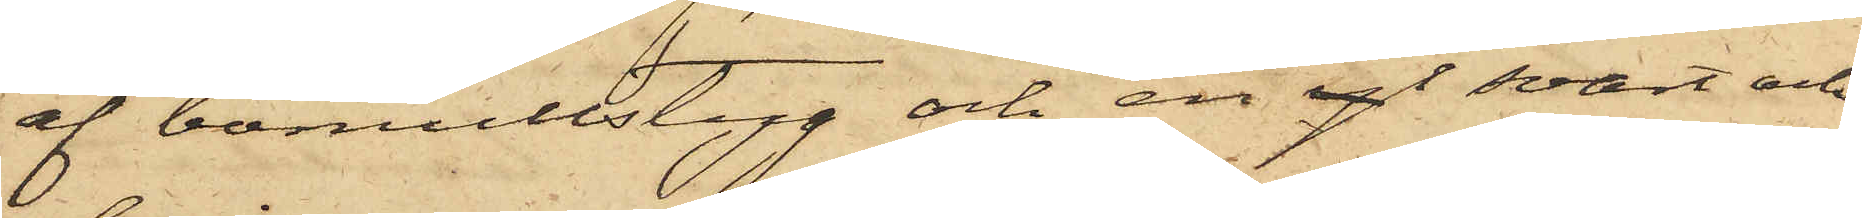af bomullstyg och en yl svart och
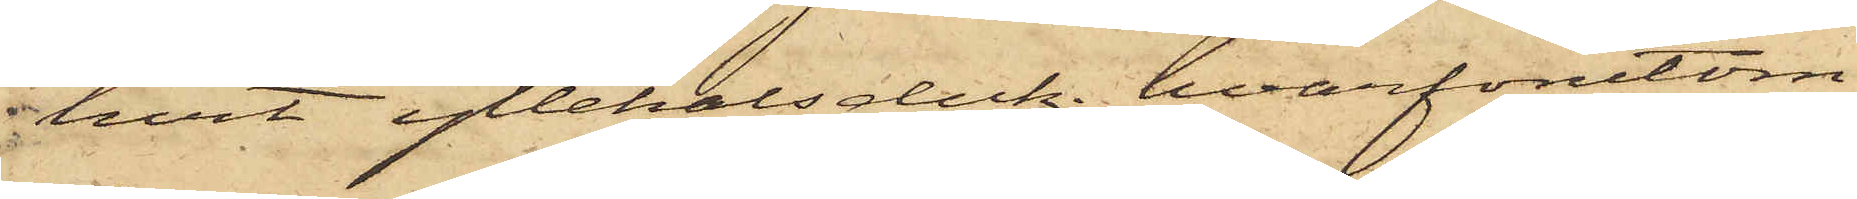hvit yllehalsduk; hvarförutom
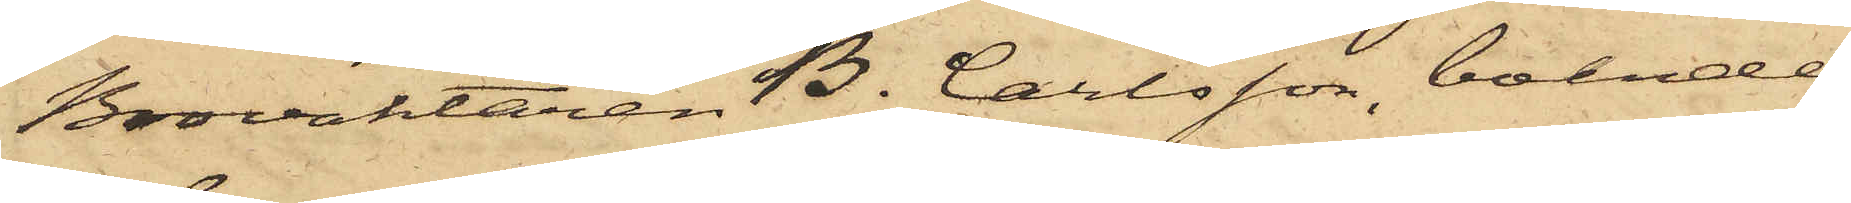Brovaktaren B. Carlsson, boende
